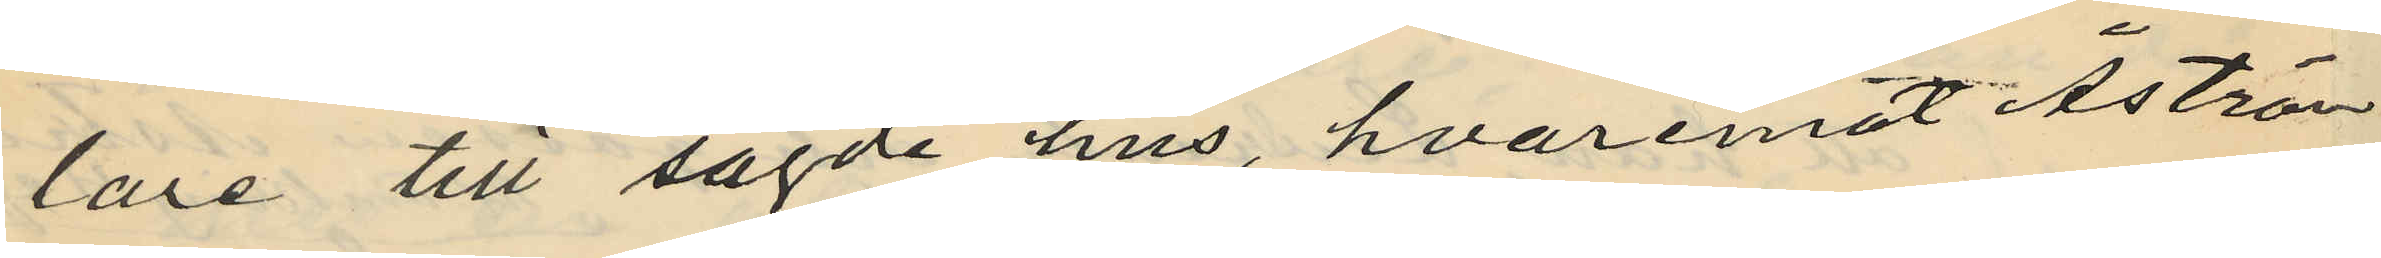lare till sagde hus, hvaremot Åström
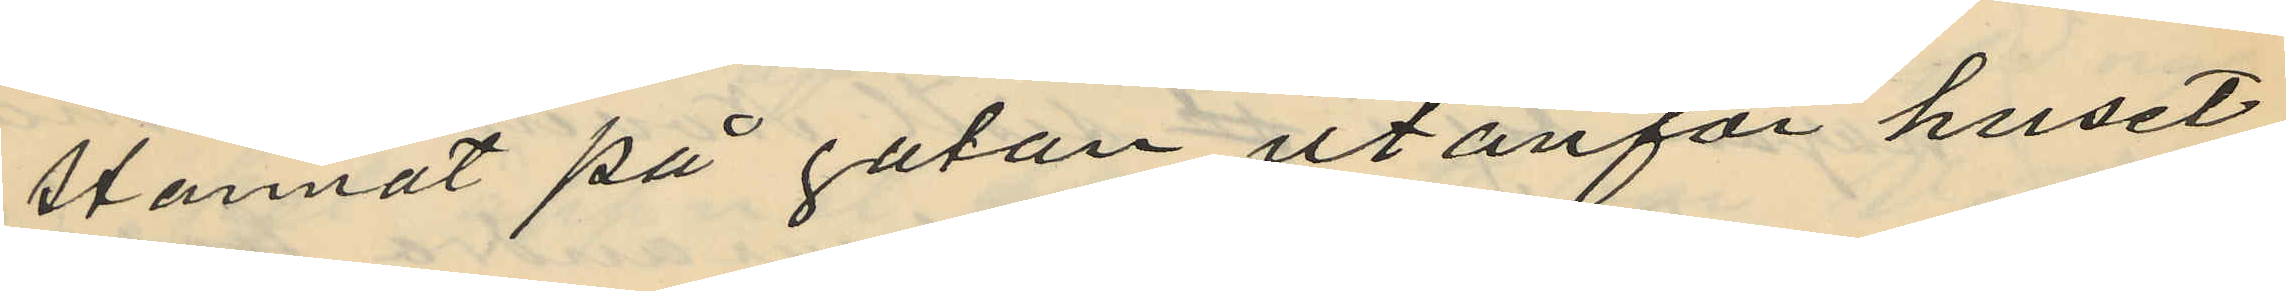stannat på gatan utanför huset
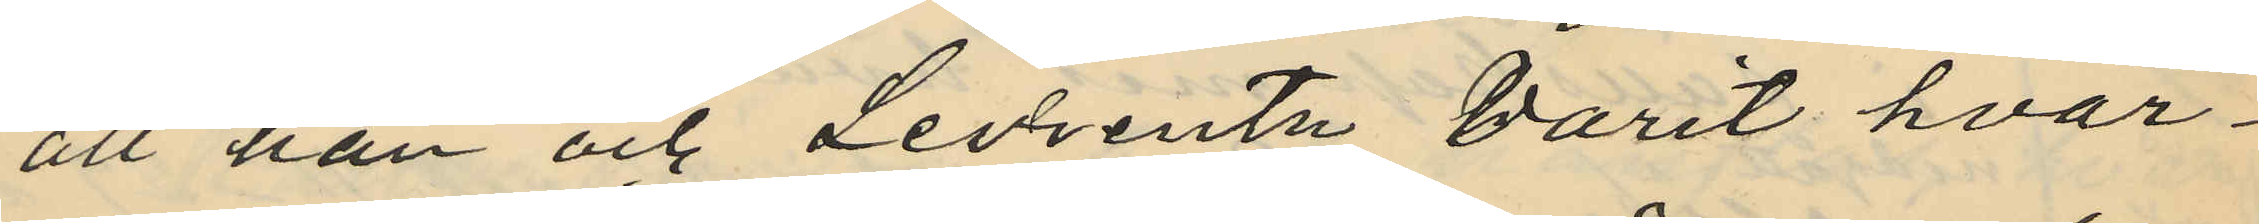att han och Levrentz varit hvar¬
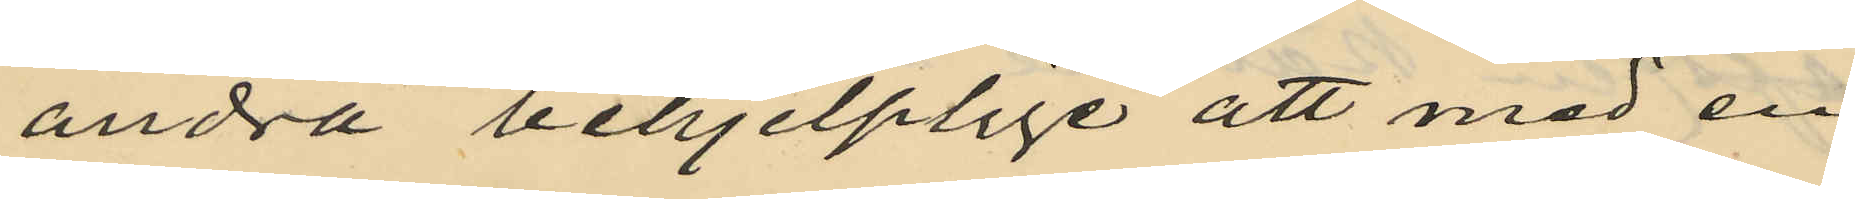andra behjelplige att med en
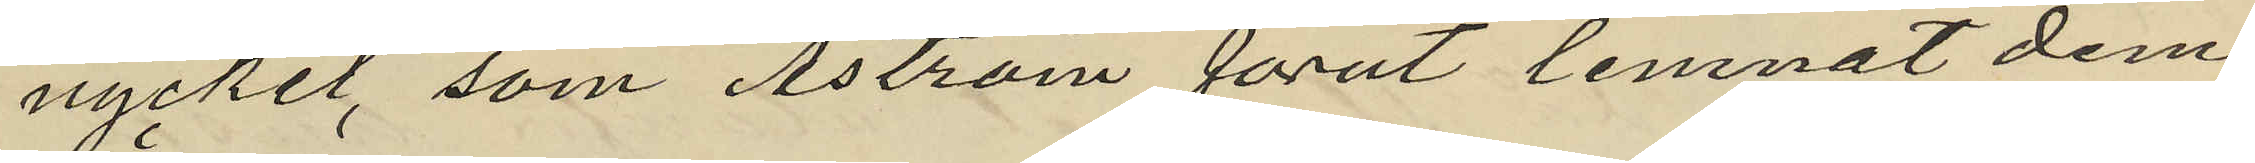nyckel, som Åström förut lemnat dem
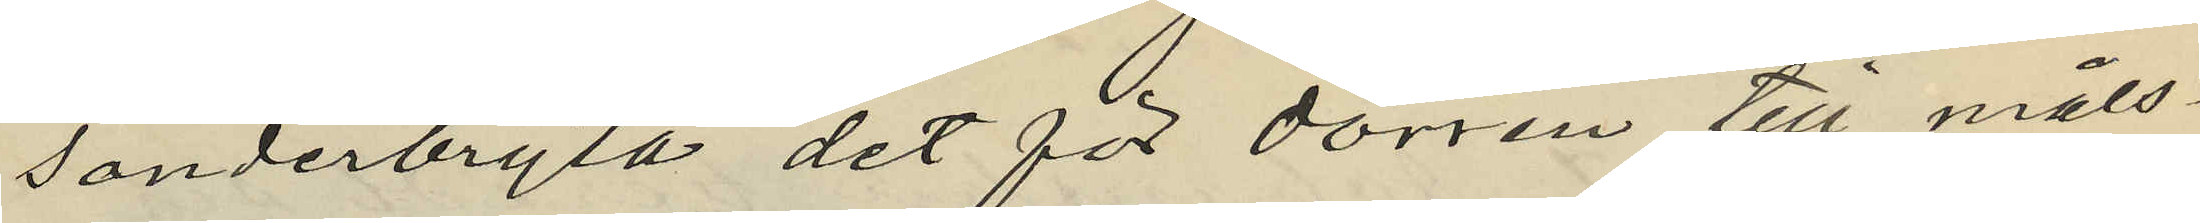sönderbryta det för dörren till måls¬
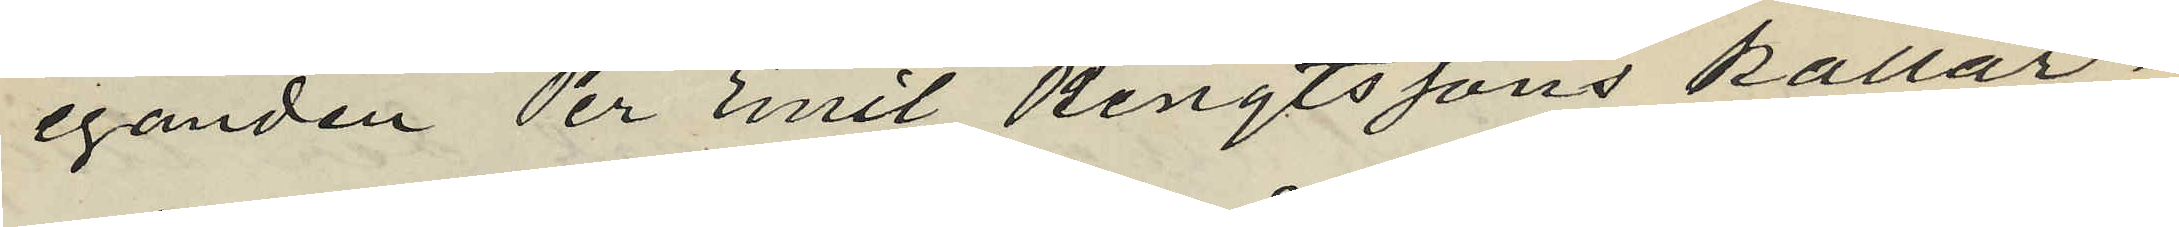eganden Per Emil Bengtssons källar¬
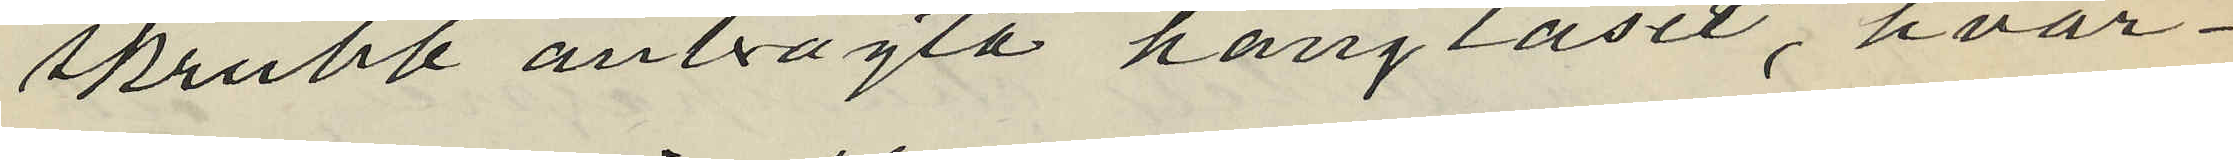skrubb anbragta hänglåset, hvar¬
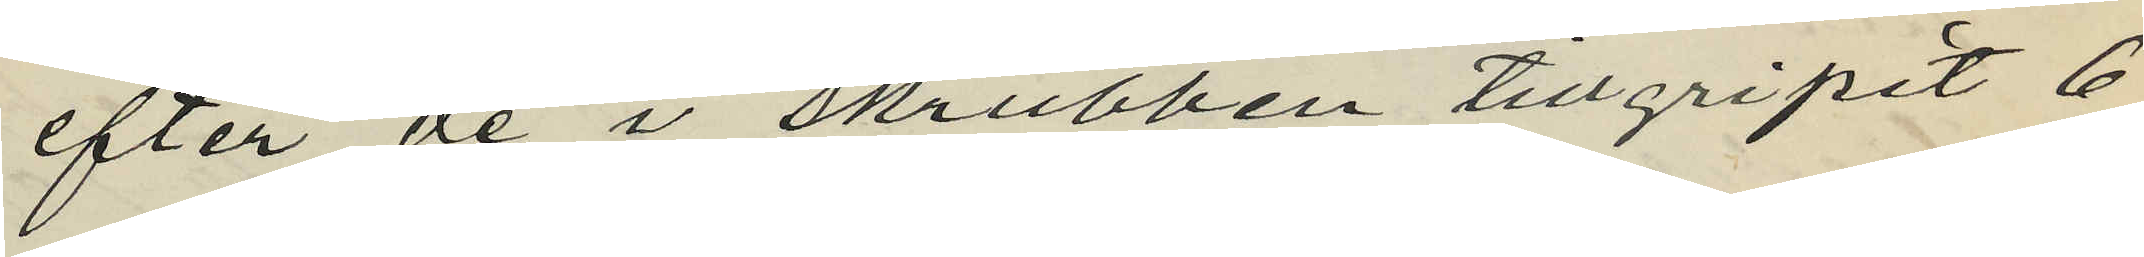efter de i skrubben tillgripit 6
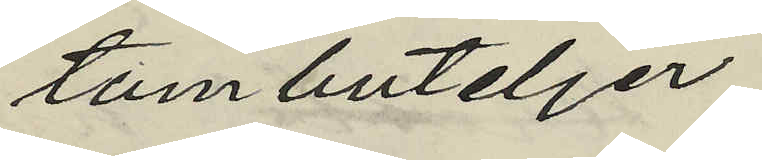tombuteljer;
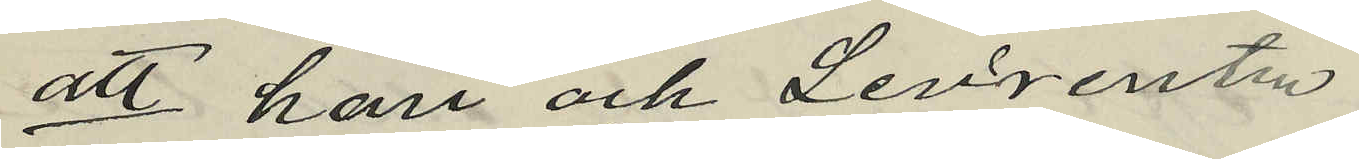att han och Levrentz
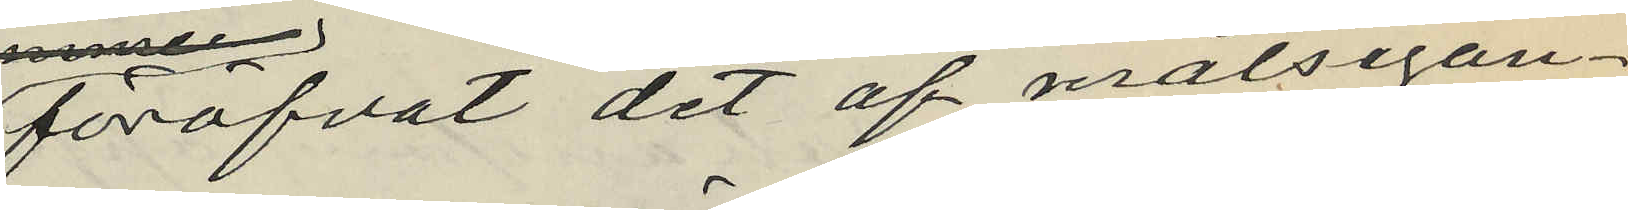föröfvat det af målsegan¬
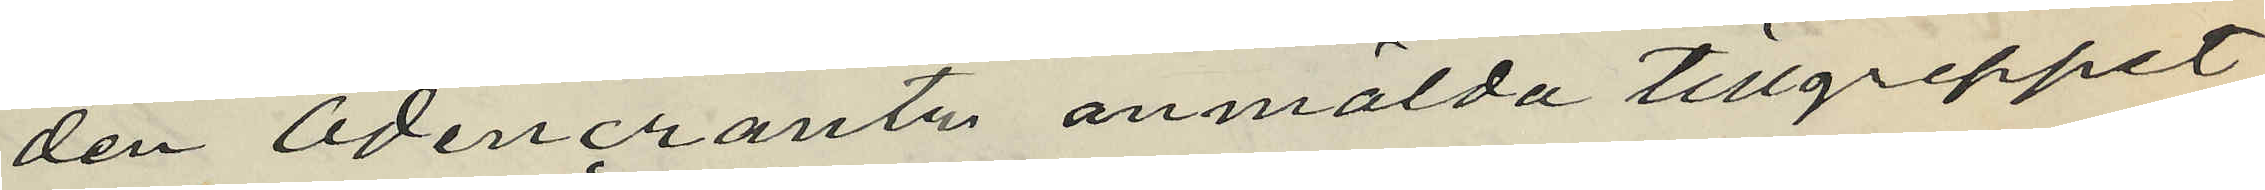den Odencrantz anmälda tillgreppet
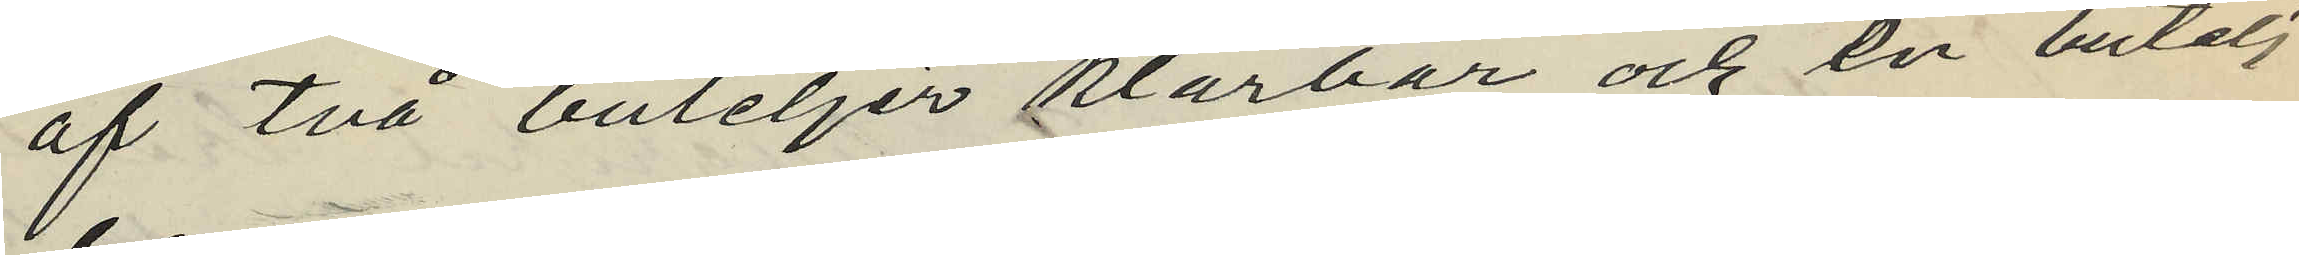af två buteljer klarbär och en butelj
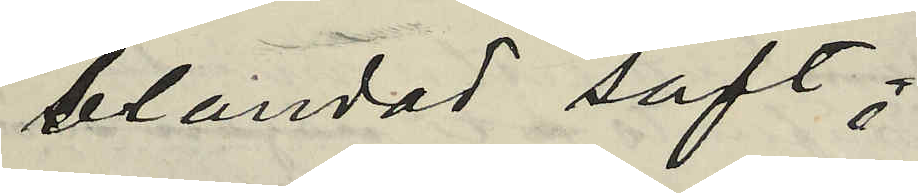blandad saft;
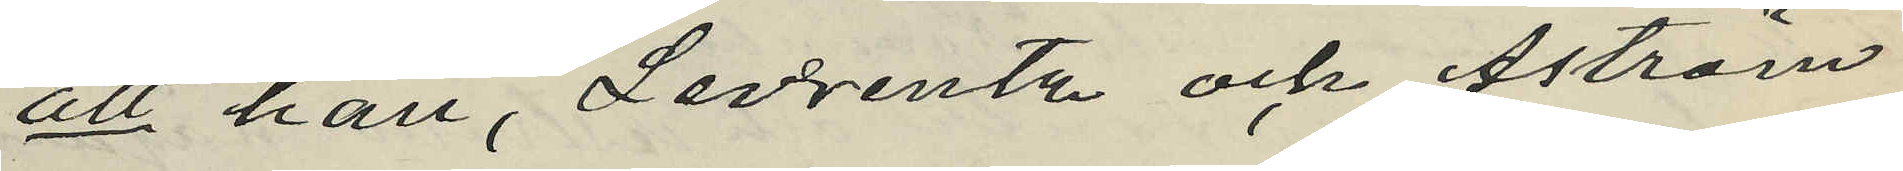att han, Levrentz och Åström
